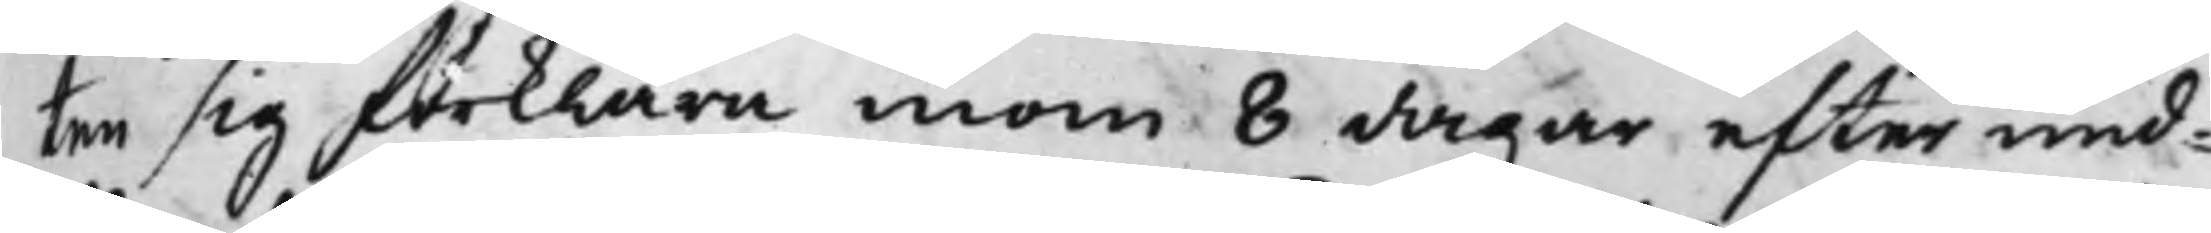ten sig förklara innom 8 dagar efter und¬
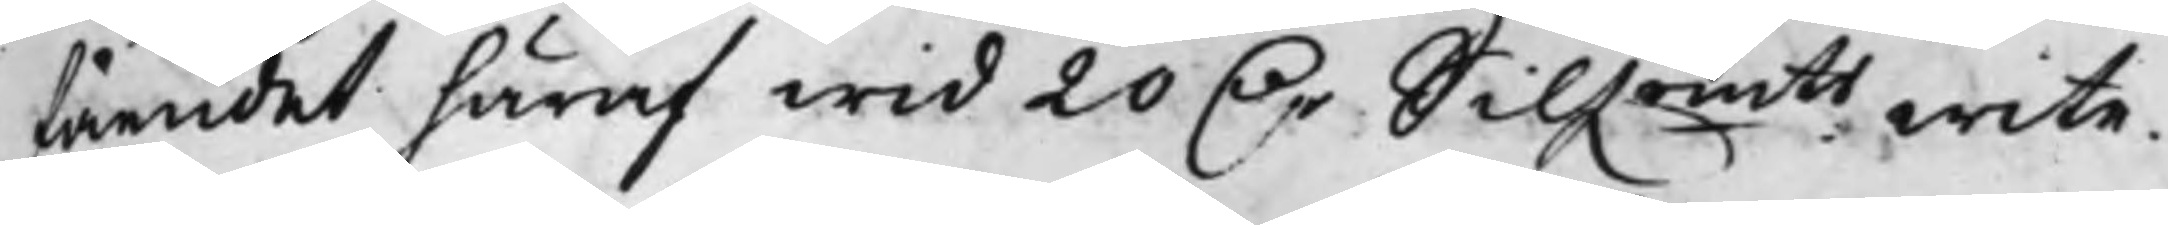fåendet häraf wid 20 D.r Silf.rmts wite.
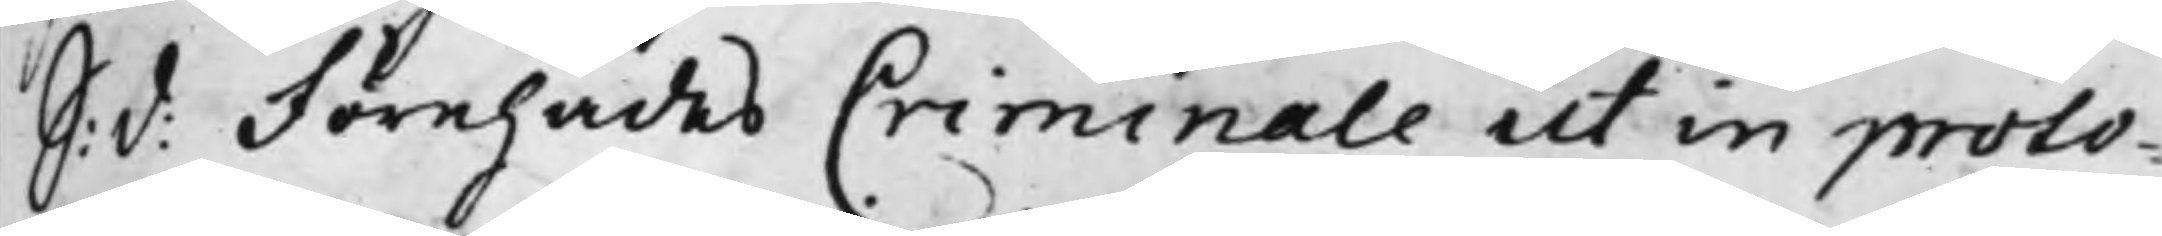S: d: Förehades Criminale ut in proto¬
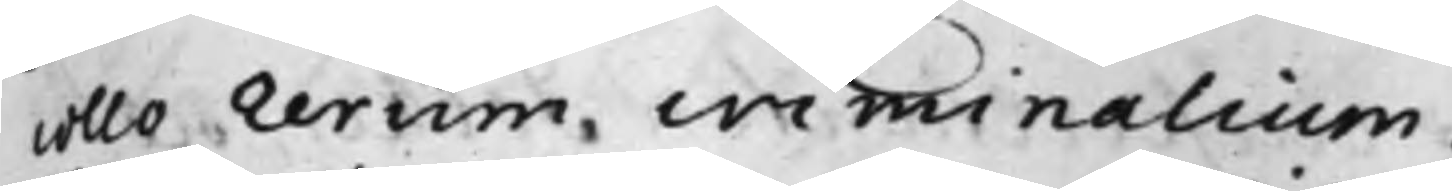collo rerum criminalium.
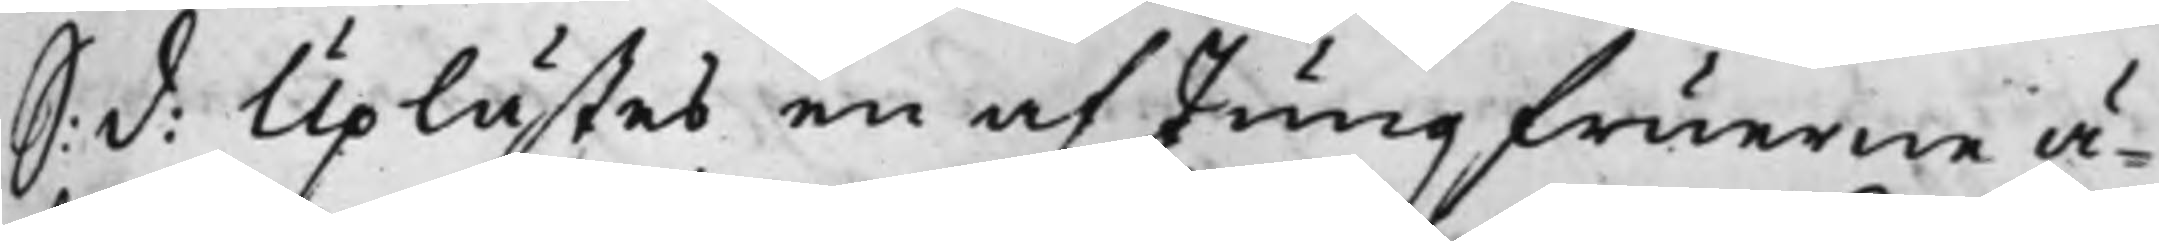S: d: Uplästes en af Jungfuerne ä¬
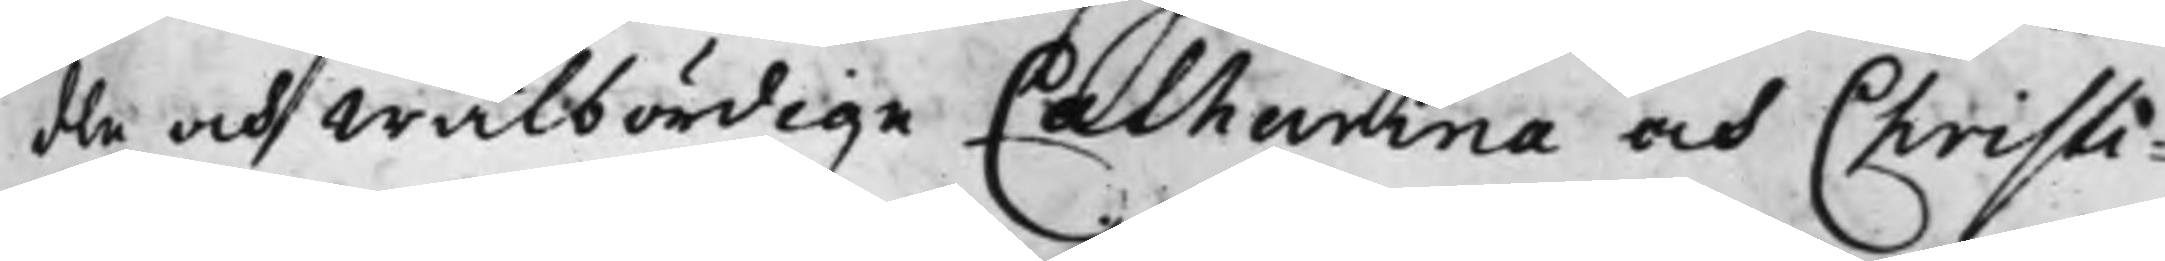dle och Wälbördige Catharina och Christi¬
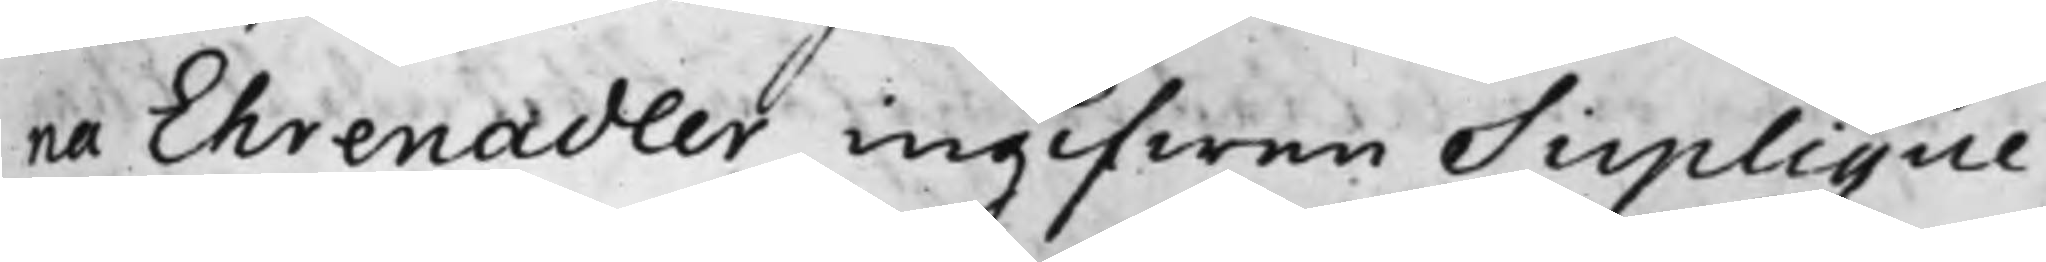na Ehrenadler ingifwen Suplique,
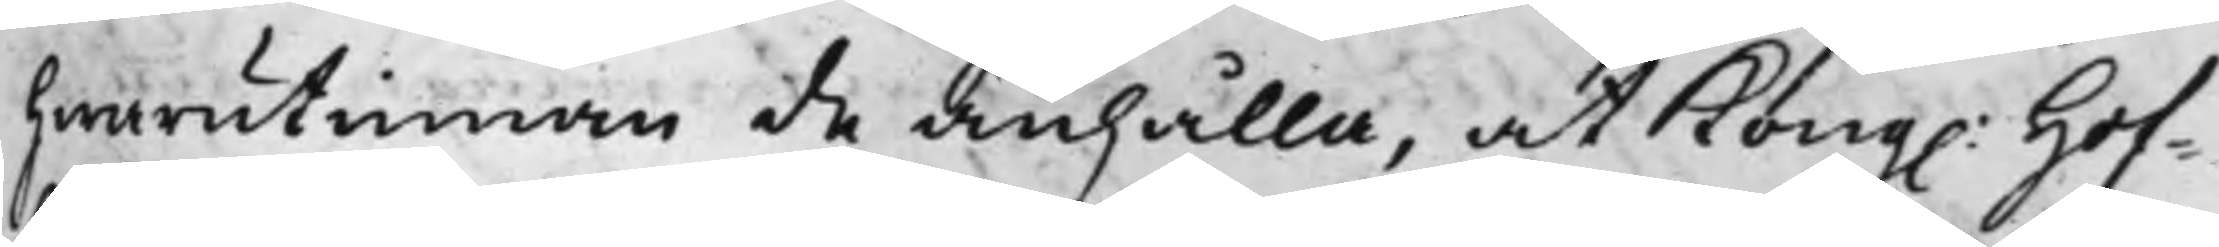hwarutinnan de anhålla, at Kong. Hof¬
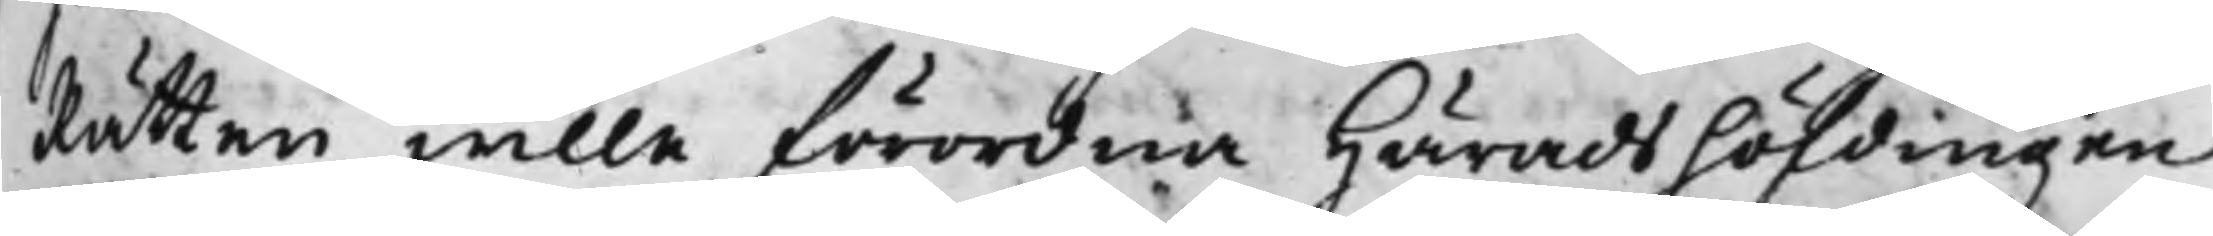Rätten wille förordna Häradshöfdingen
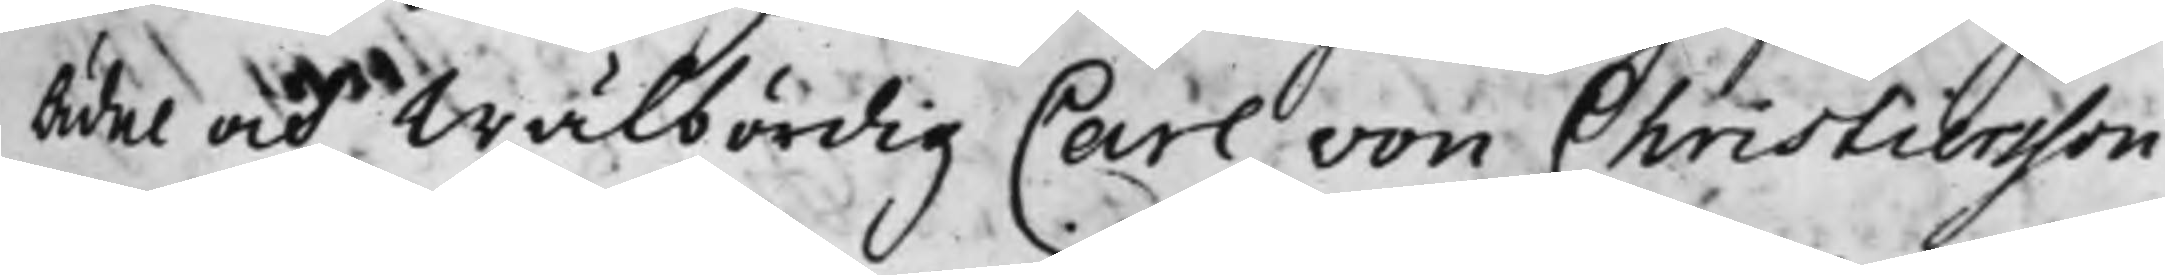Edel och Wälbördig Carl von Christiersson
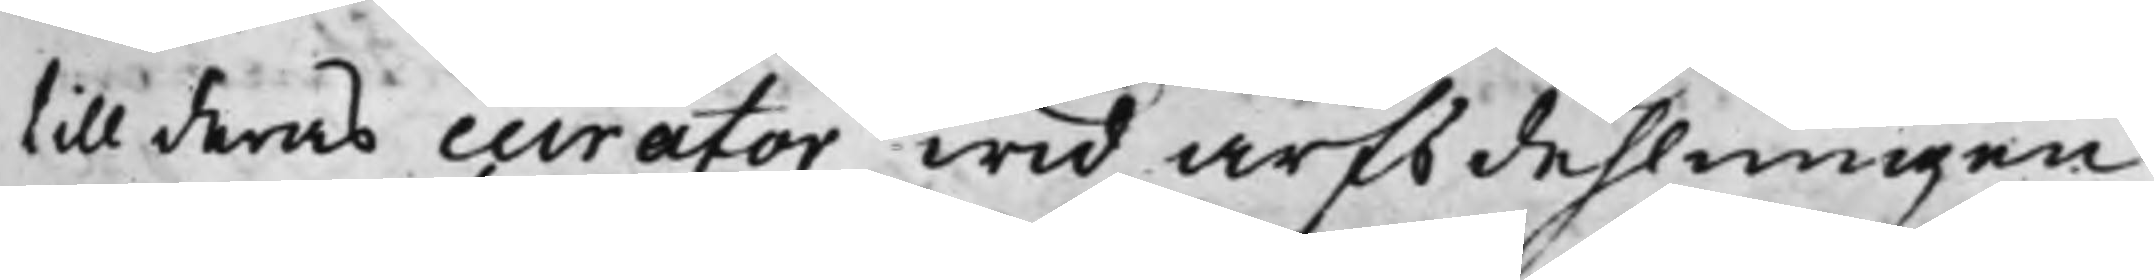till deras curator wid arfsdehlningen
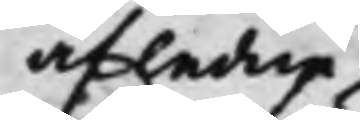afledne
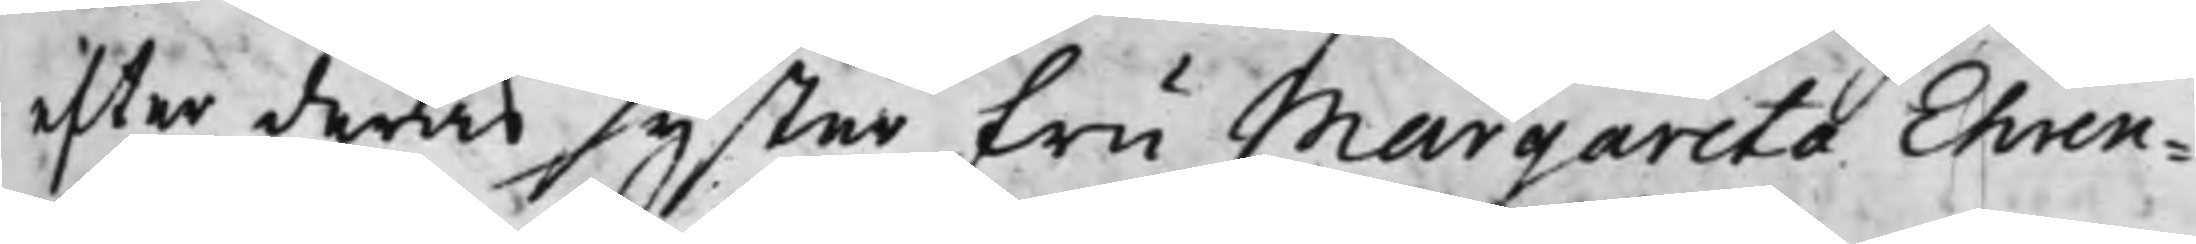efter deras syster Fru Margareta Ehren¬
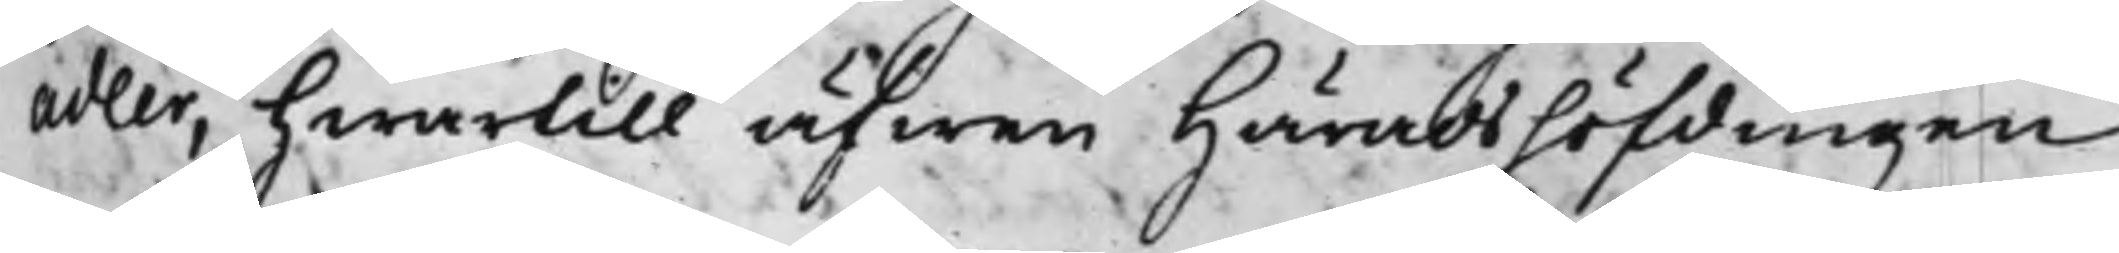adler, hwartill äfwen Häradshöfdingen
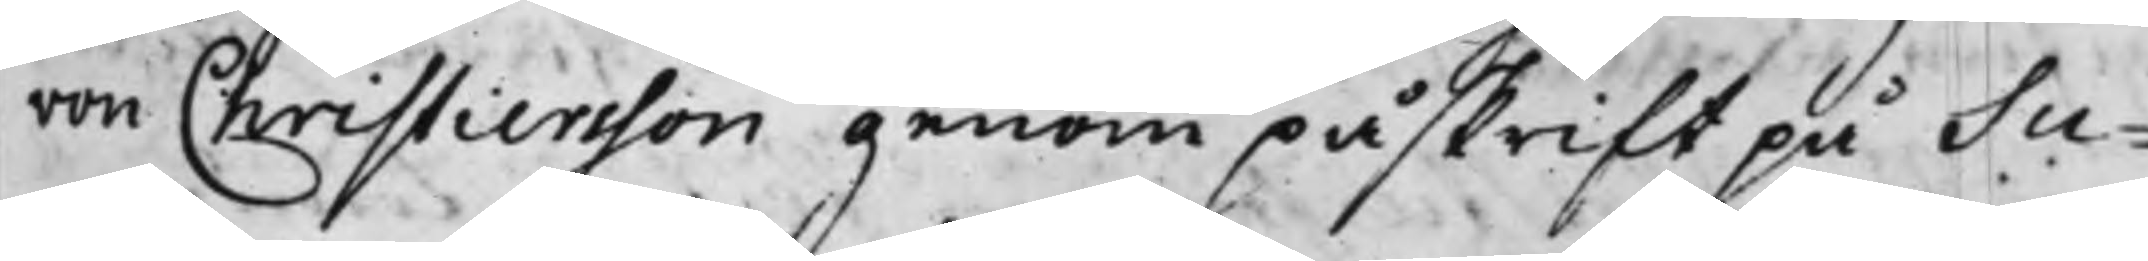von Christiersson genom påskrift på Su¬
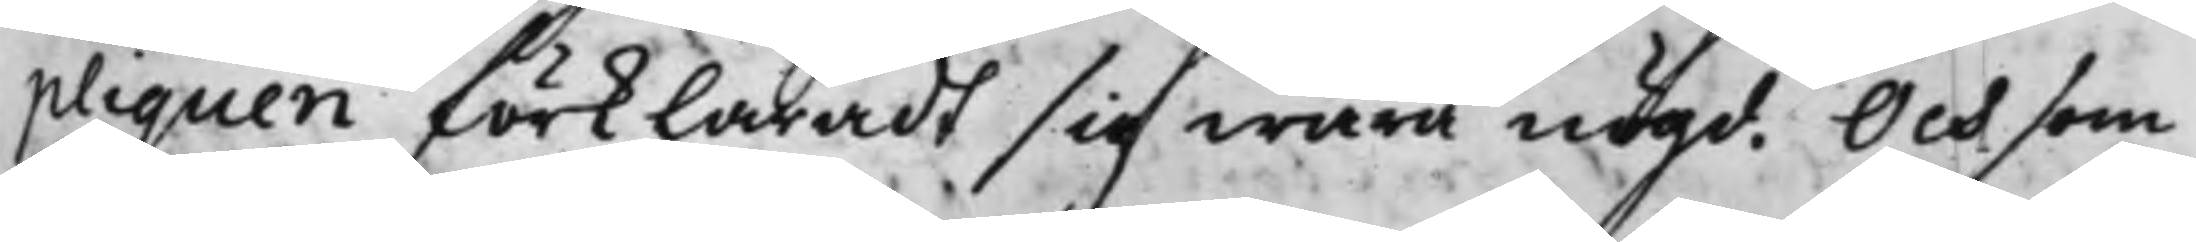pliquen förklaradt sig wara nögd. Och som
